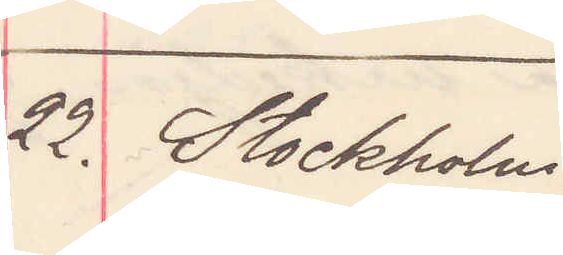22. Stockholm
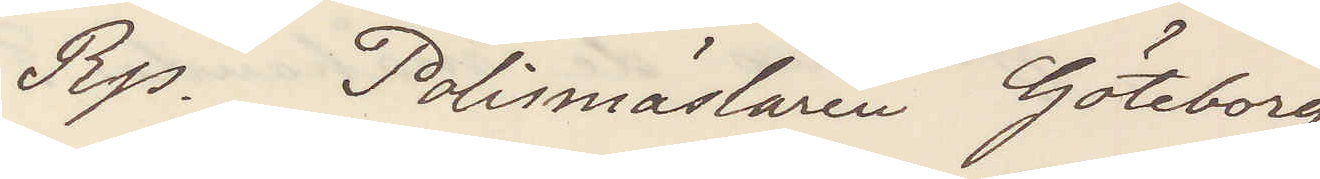Rp. Polismästaren Göteborg
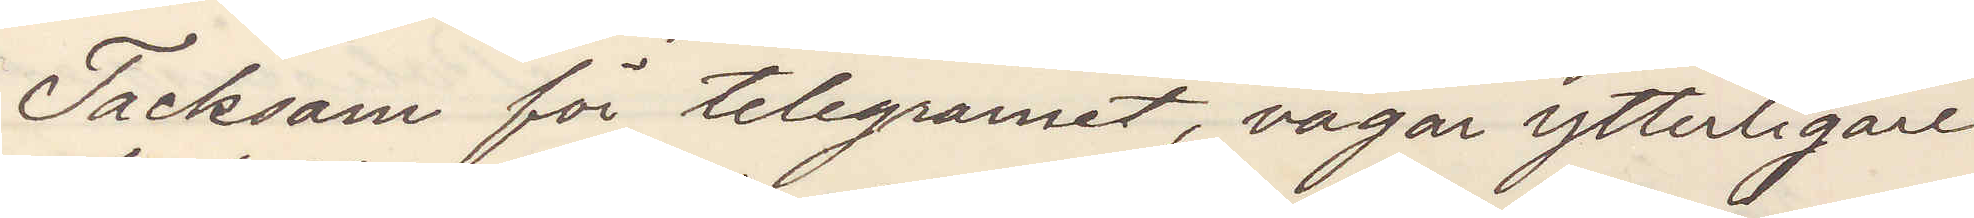Tacksam för telegrammet, vågar ytterligare
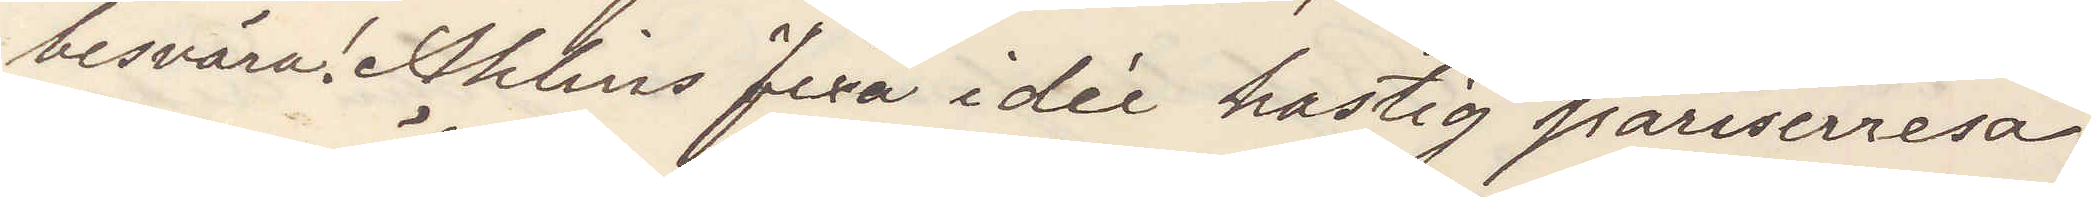besvära! Ahlins fixa idée hastig pariserresa.
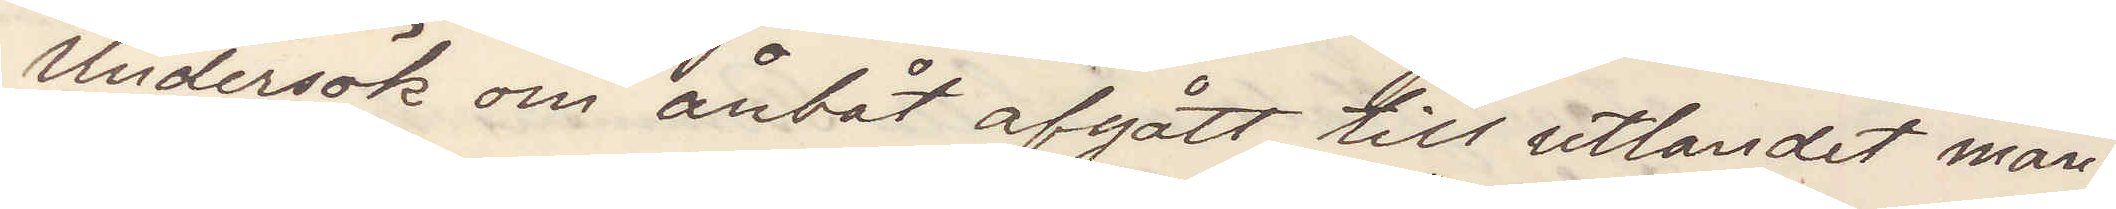Undersök om ånbåt afgått till utlandet mån¬
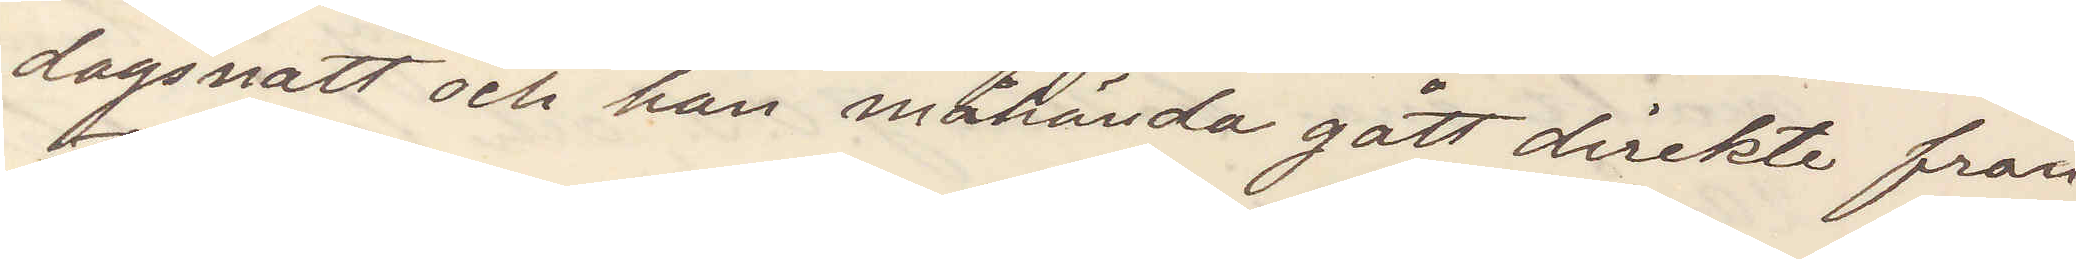dagsnatt och han måhända gått direkt från
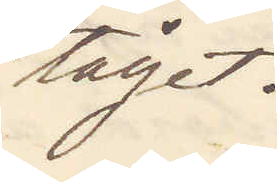tåget.
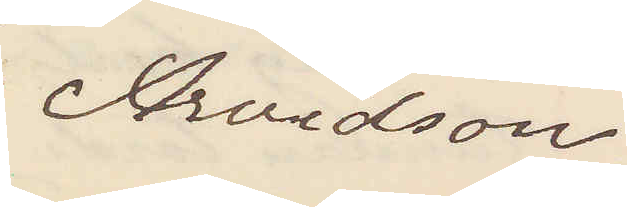Arvidson
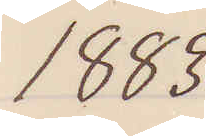1883
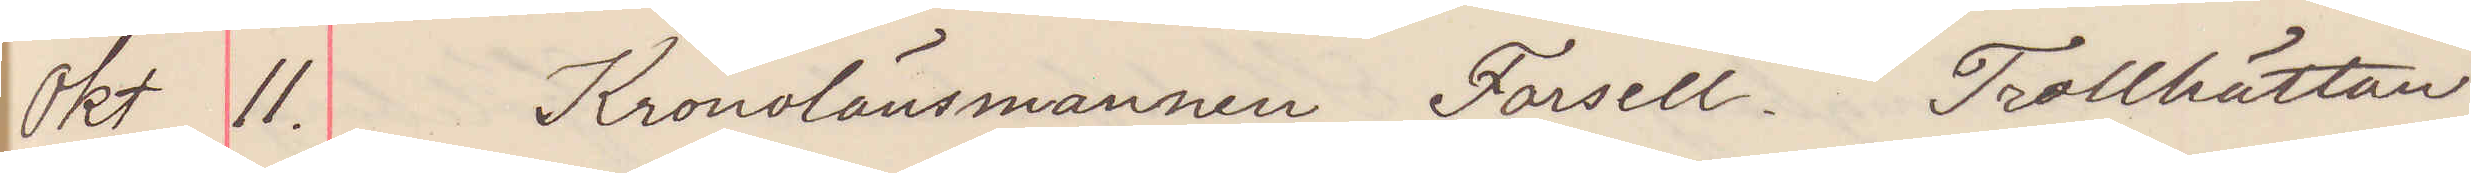okt 11. Kronolänsmannen Forsell. Trollhättan
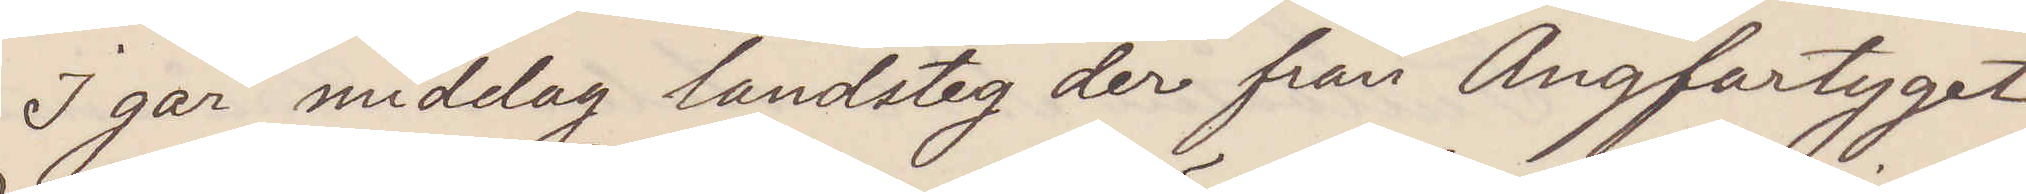I går middag landsteg der från Ångfartyget
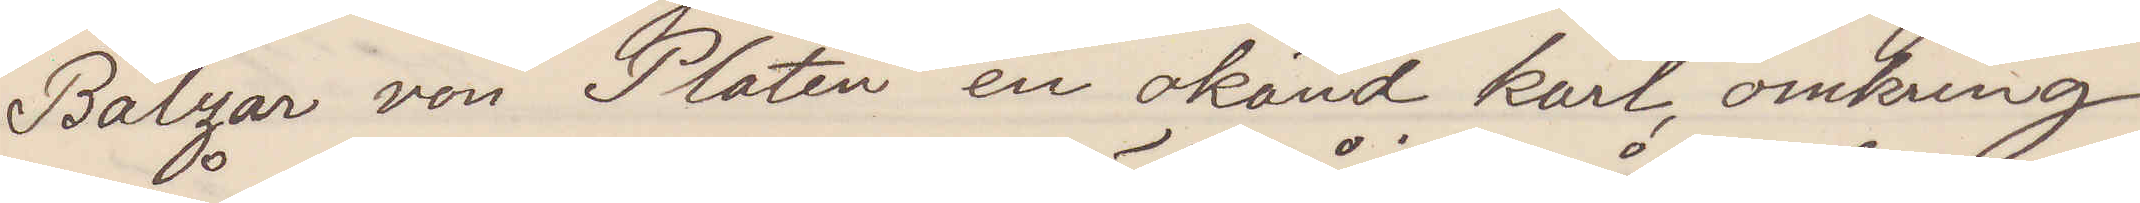Balzar von Platen en okänd karl, omkring
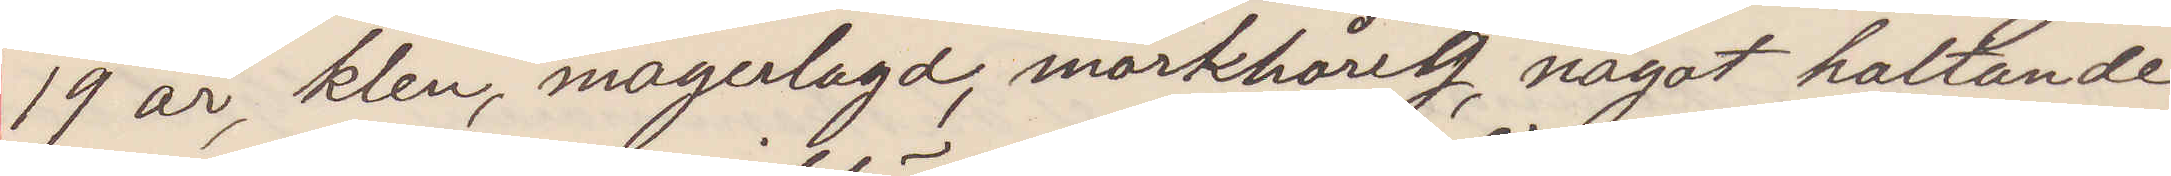19 år, klen, magerlagd, mörkhårig, något haltande
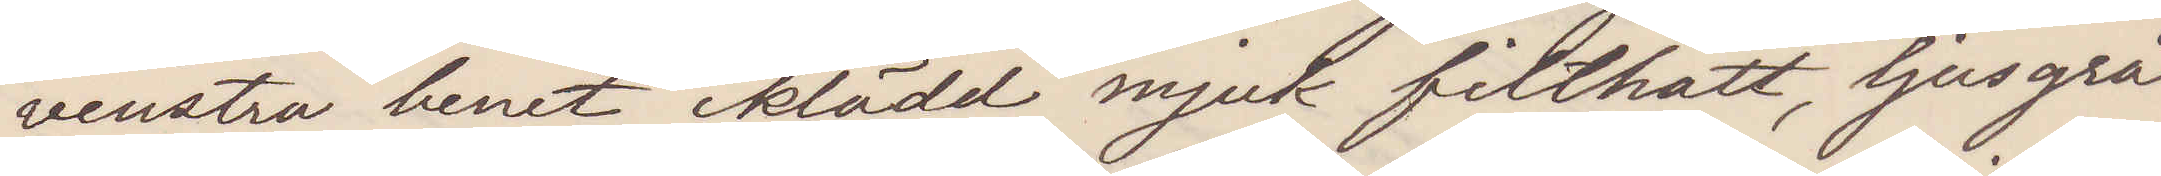vesntra benet iklädd mjuk filthatt, ljusgrå
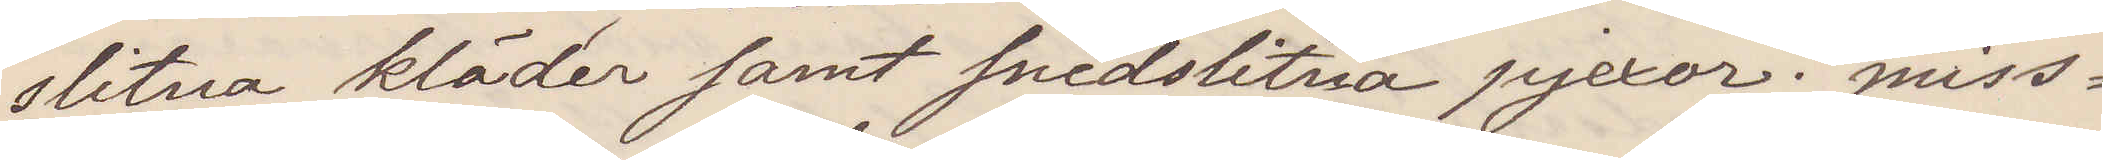slitna kläder samt snedslitna pjexor; miss¬
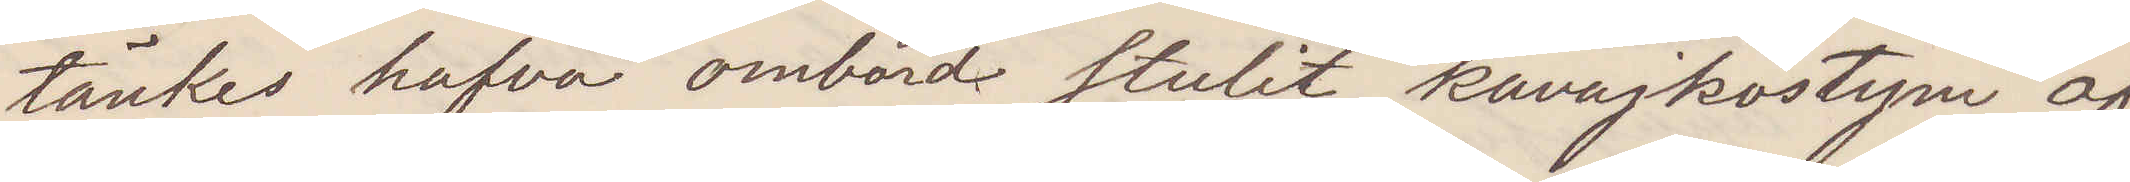tänkes hafva ombord stulit kavajkostym af
